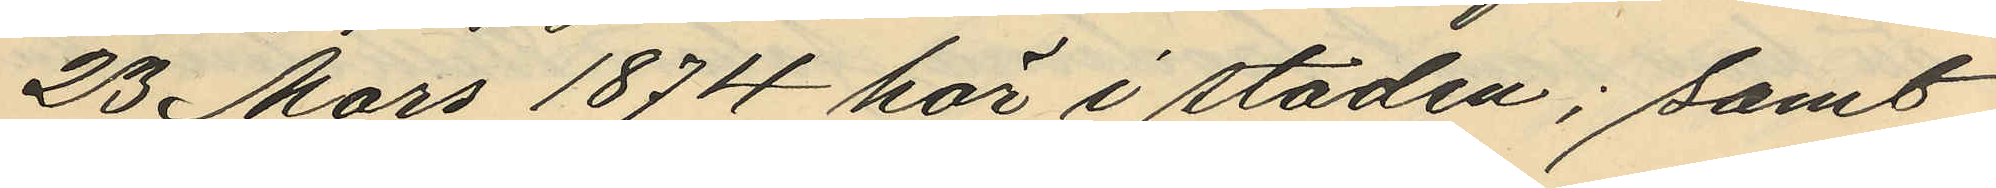23 Mars 1874 här i staden; samt
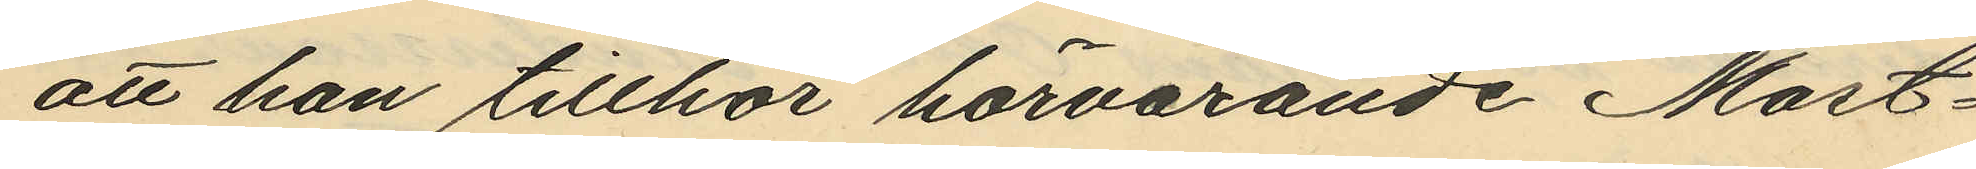att han tillhör härvarande Mast¬
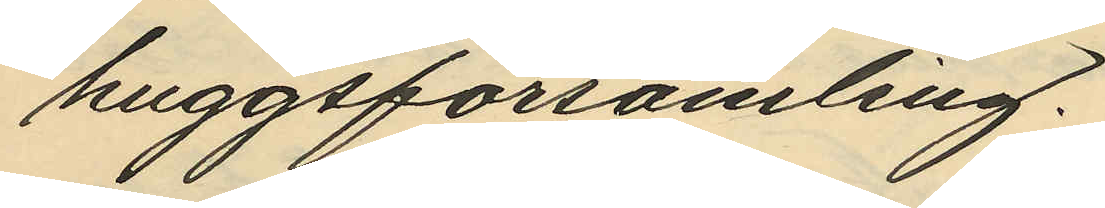huggsförsamling.
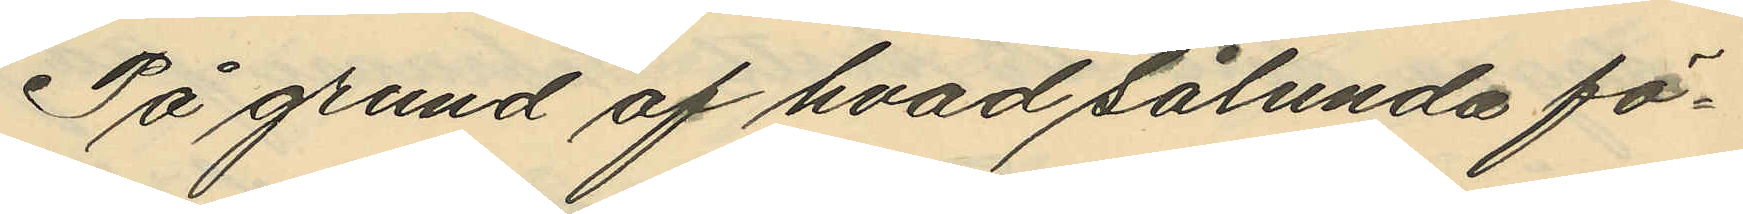På grund af hvad sålunda fö¬
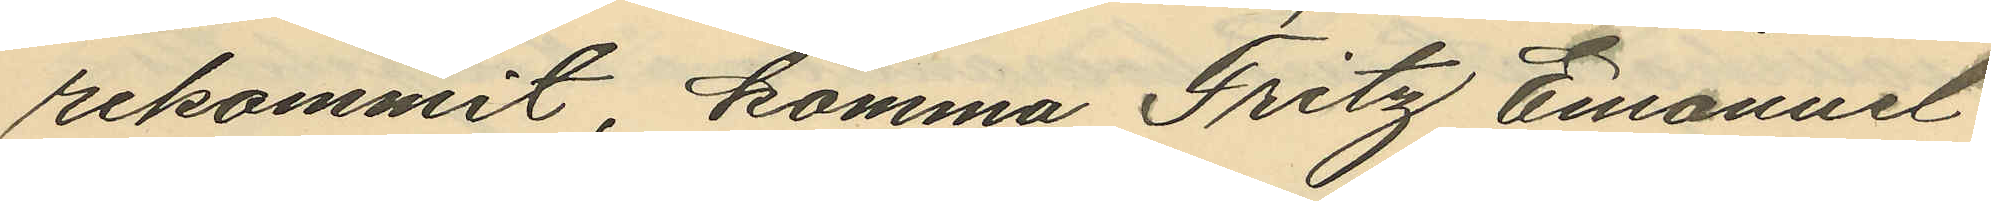rekommit, komma Fritz Emanuel
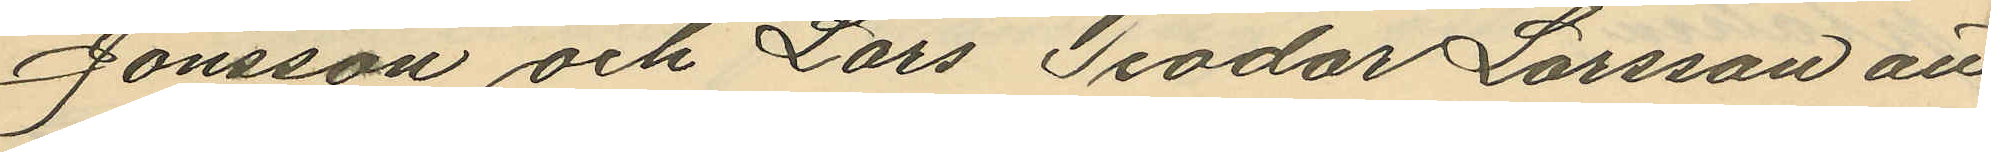Jonsson och Lars Teodor Larsson att
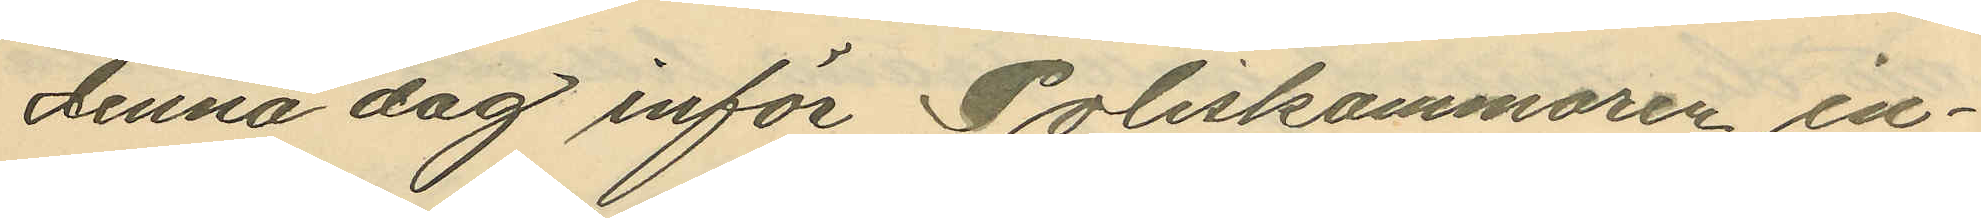denna dag inför Poliskammaren in¬
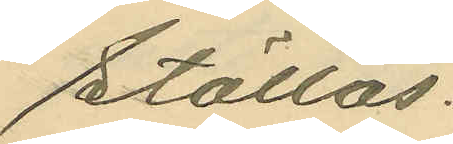ställas.
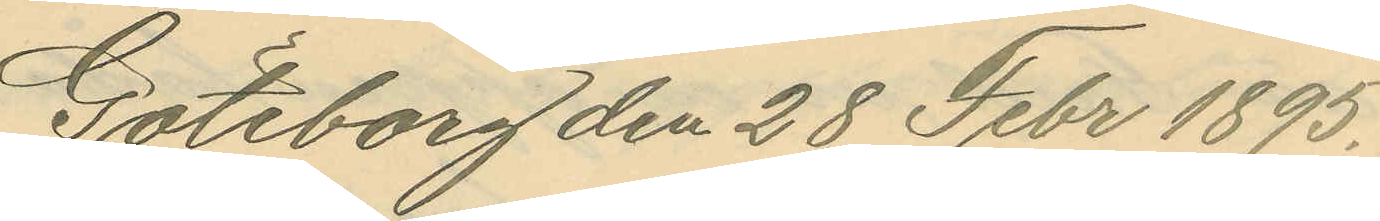Göteborg den 28 Febr 1895.
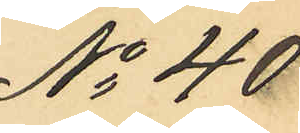No 40
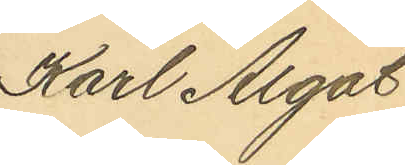Karl Algot
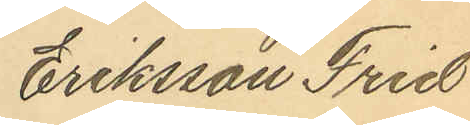Eriksson Frid
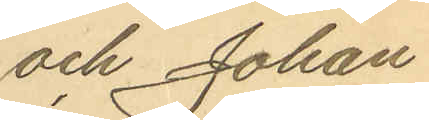och Johan
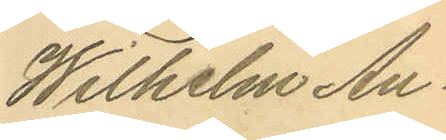Wilhelm An¬
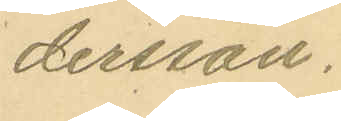dersson.
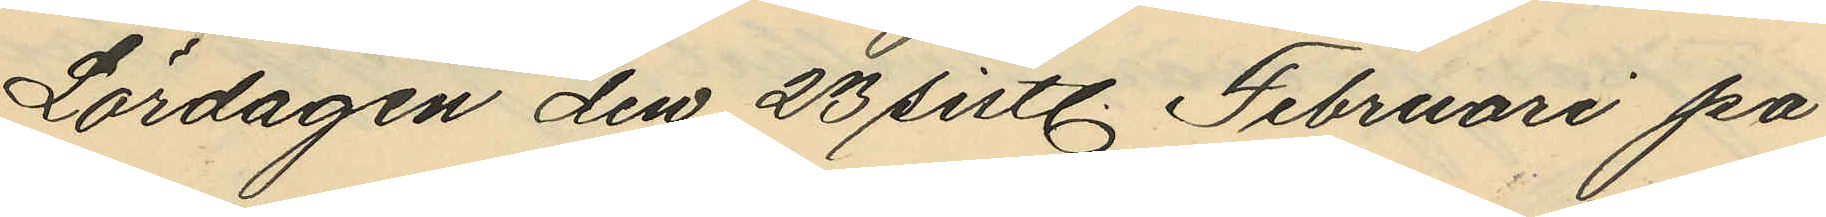Lördagen den 23 sistl. Februari på
